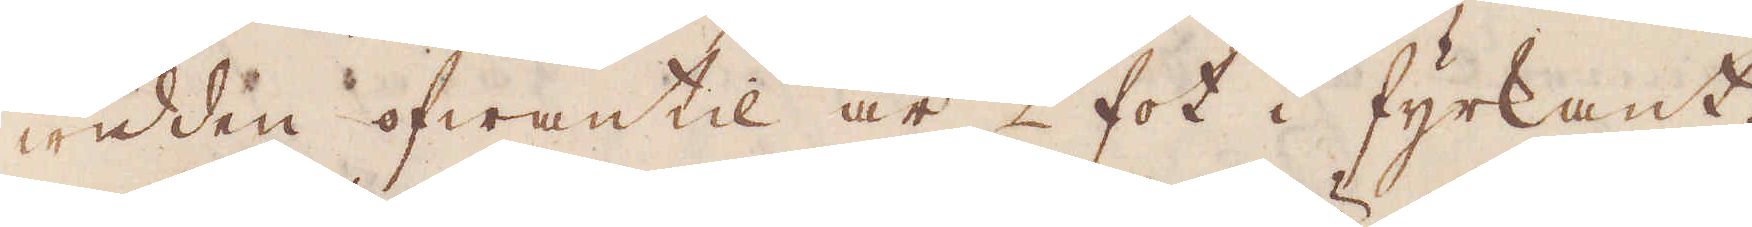widden ofwantil är 2 fot i fyrkant.
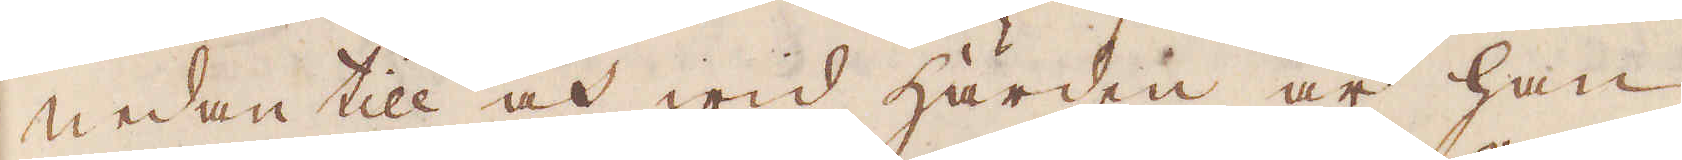Nedantill och wid härden är han
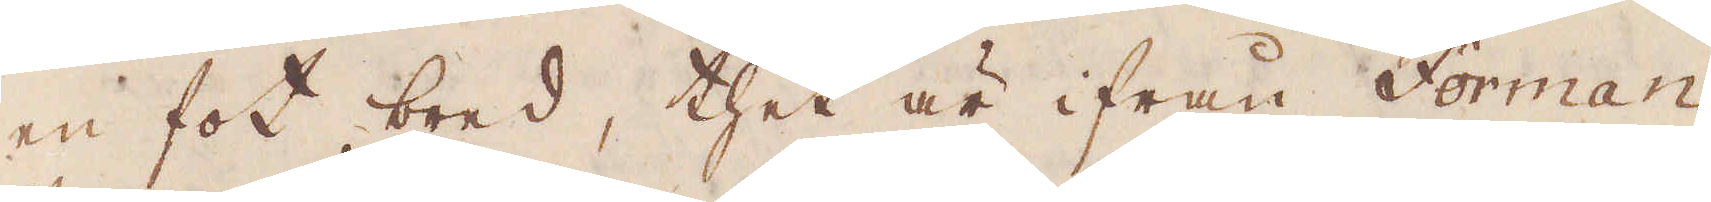en fot bred, thet är ifrån Forman
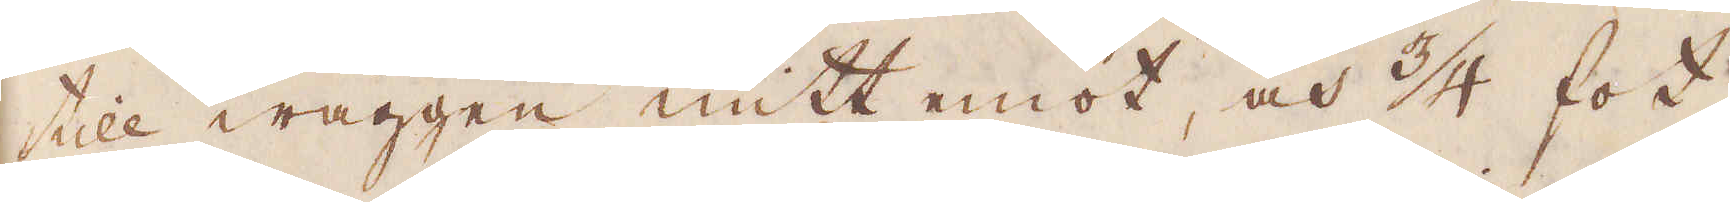till wäggen mitt emot, och 3/4 fot
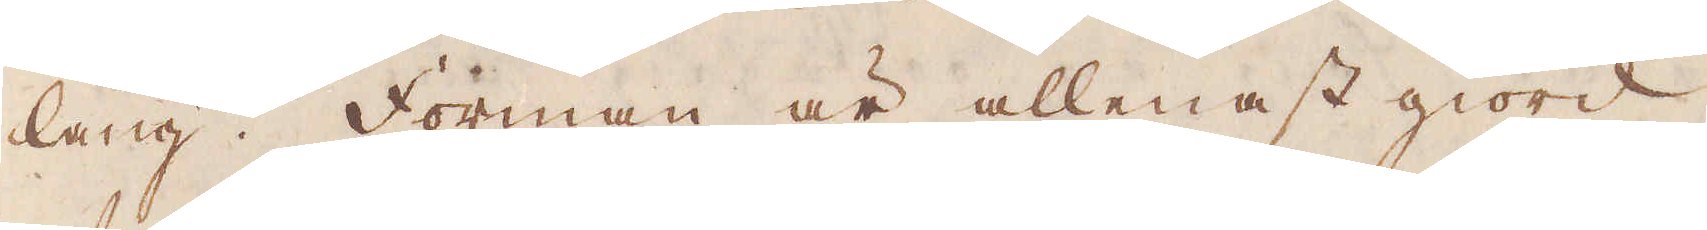lång. Forman är allenast giord
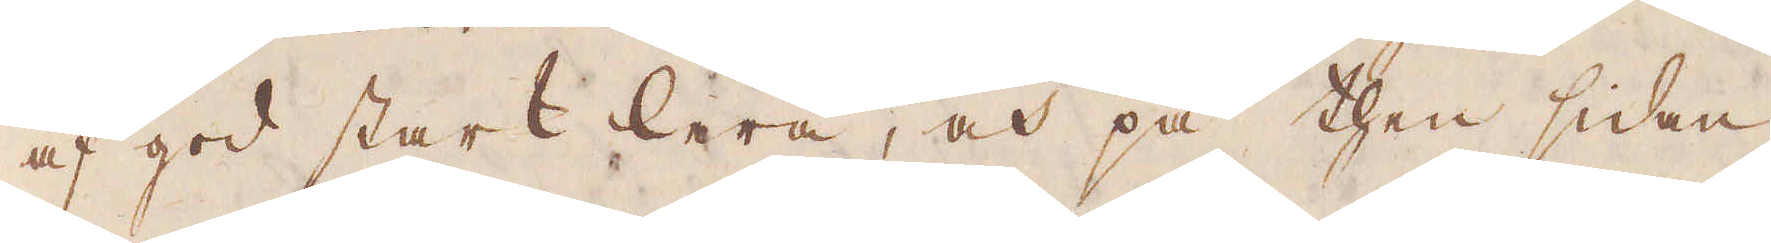af god stark lera, och på then sidan,
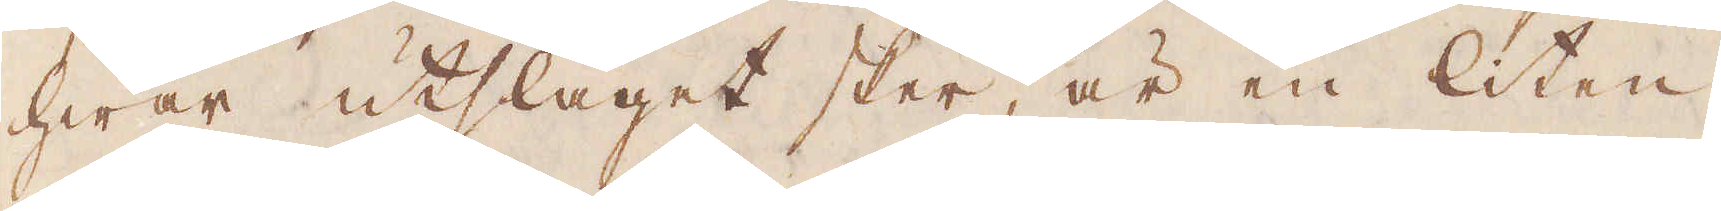hwar utslaget sker, är en liten
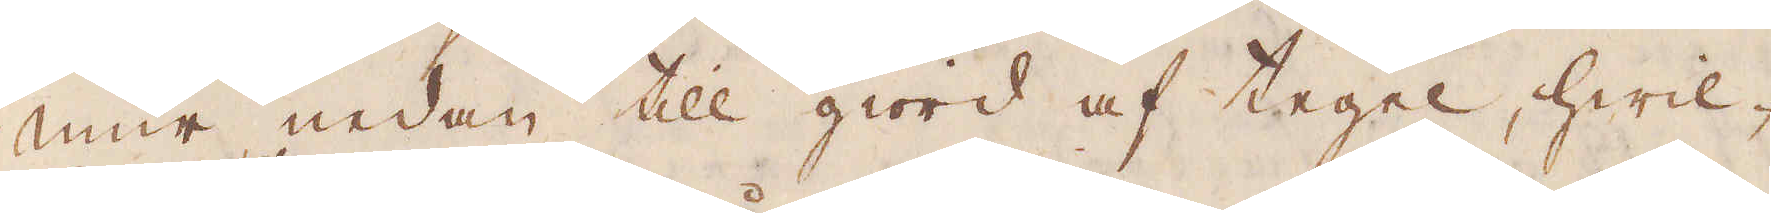mur nedan till giord af tegel, hwil-
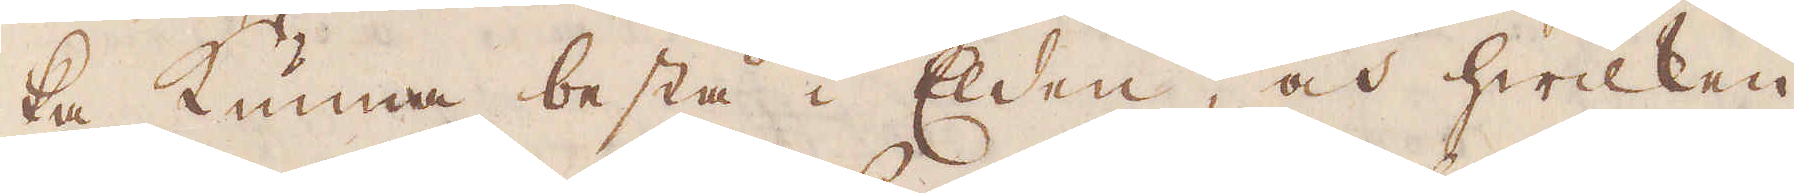ka kunna bestå i Elden, och hwilken
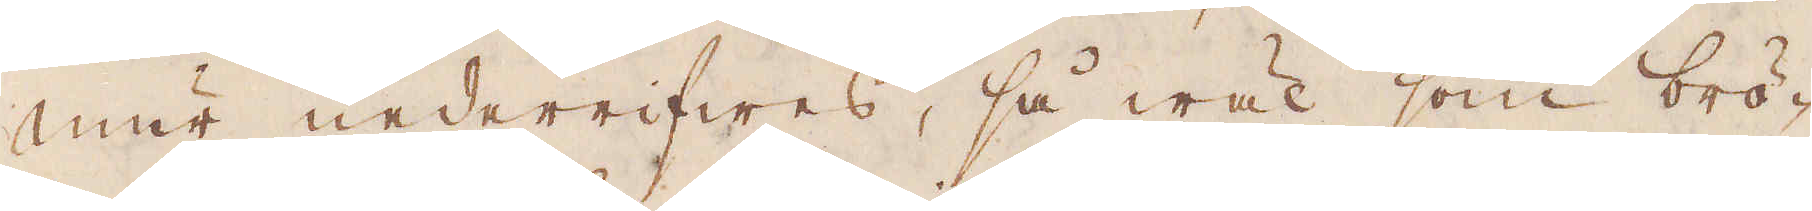mur underrifwes, så wäl som brö-
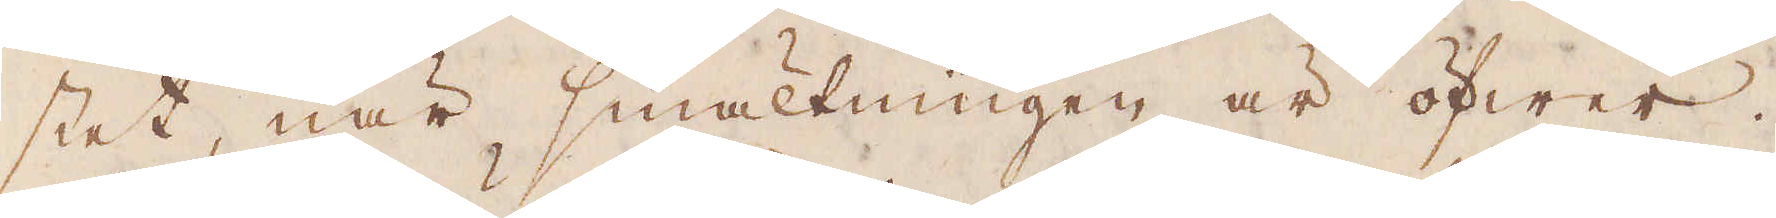stet, när smältningen är öfwer.
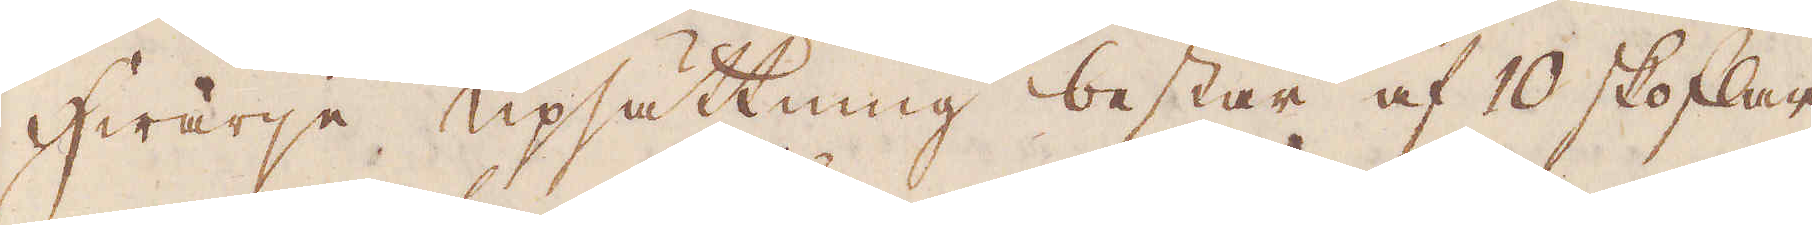Hwarje upsättning består af 10 skoflar
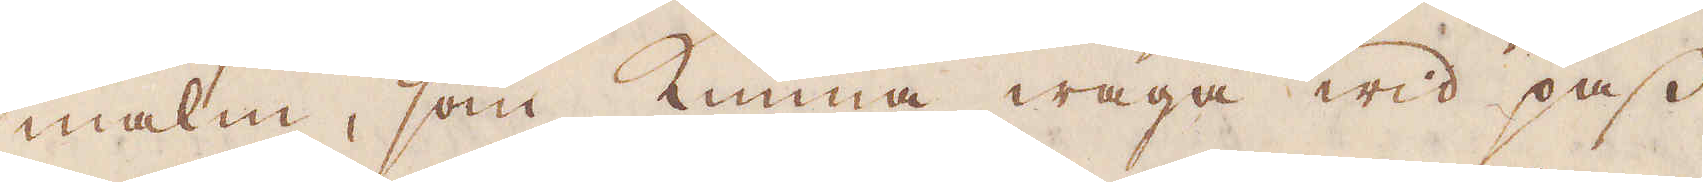malm, som kunna wäga wid pass
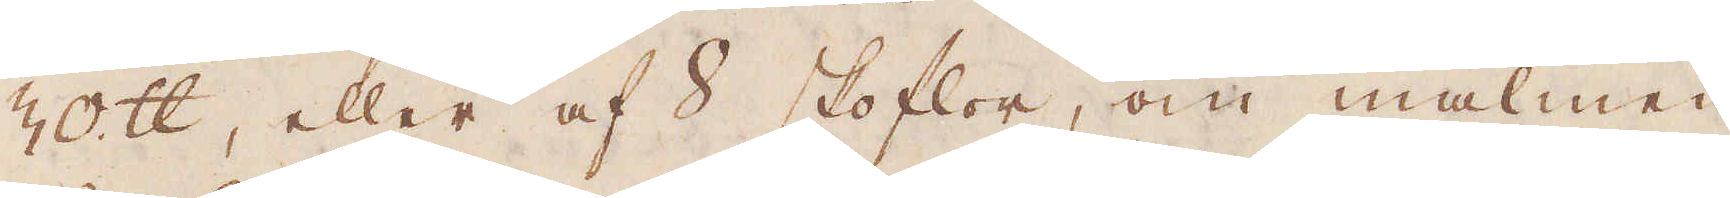30 skålpund, eller af 8 skoflor, om malmen
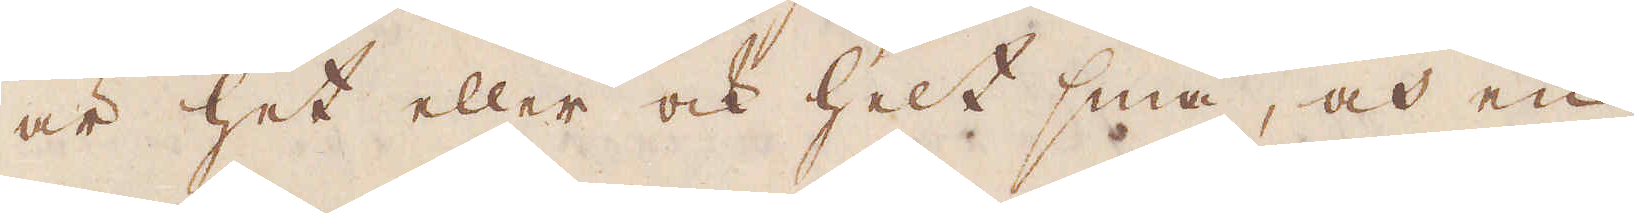är het eller och helt små, och en
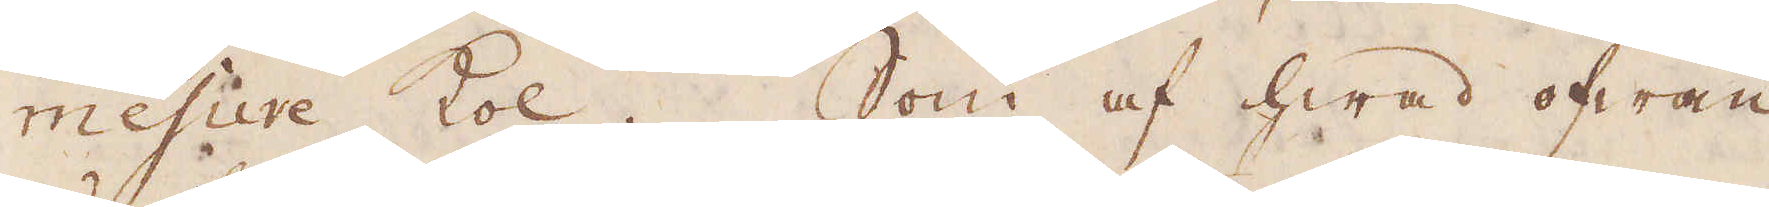mesure Kol. Som af hwad ofwan
